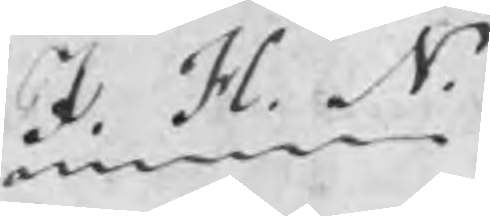J. H. N.
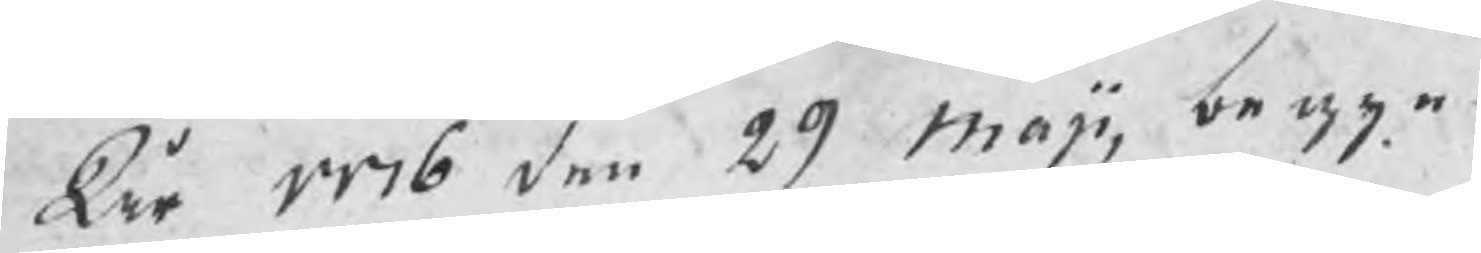År 1776 den 29 maji, begyn¬
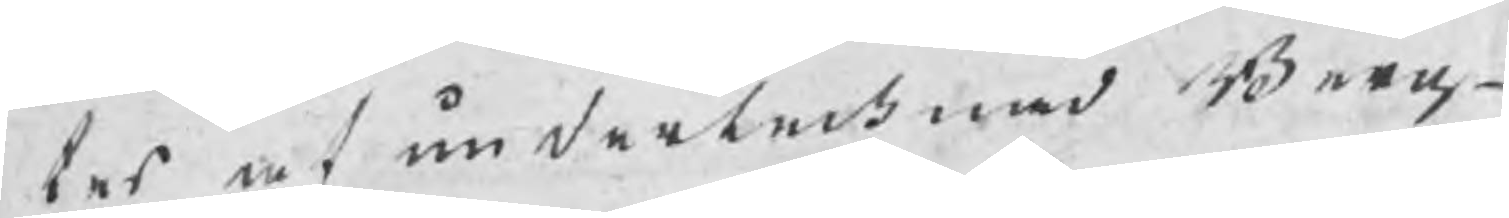tes af undertechnad Berg¬
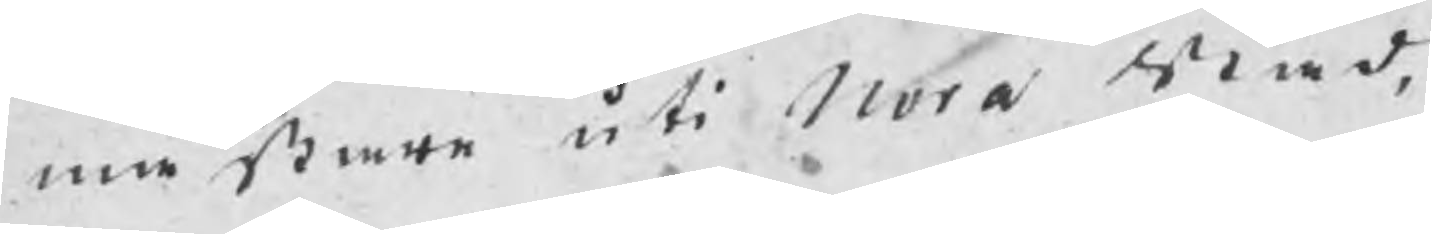mästare uti Nora Stad,
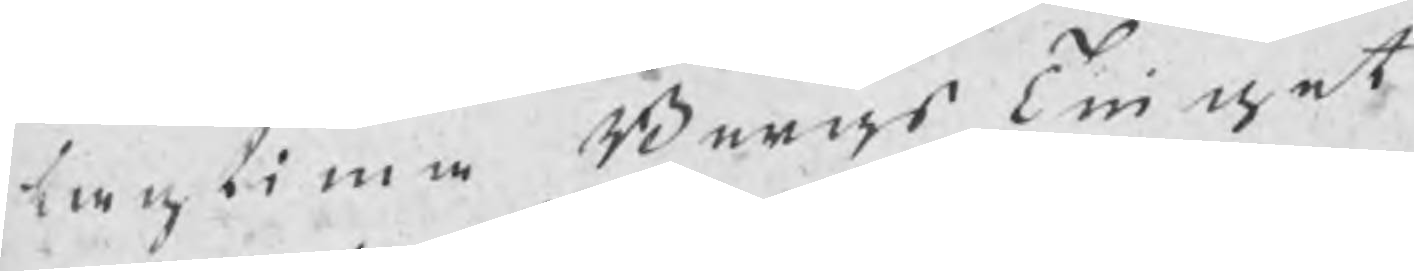lagtima BergsTinget
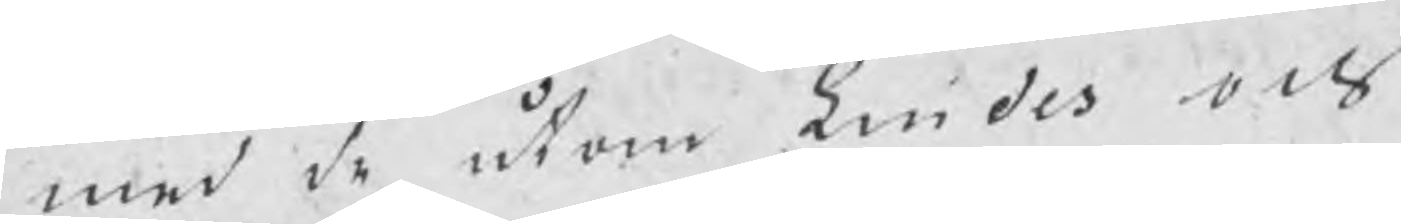med de utom Lindes och
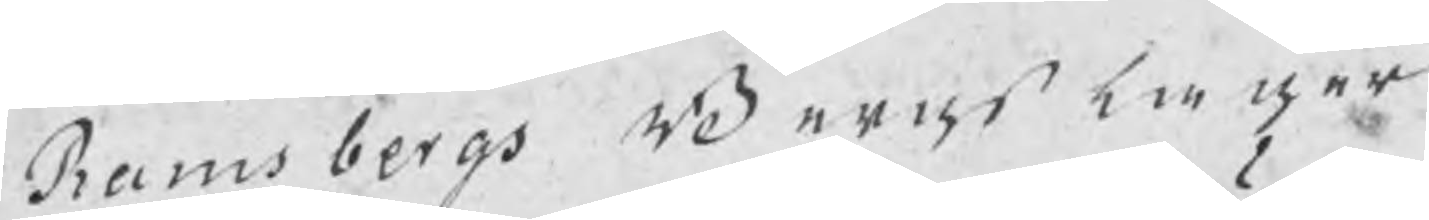Ramsbergs Bergslager
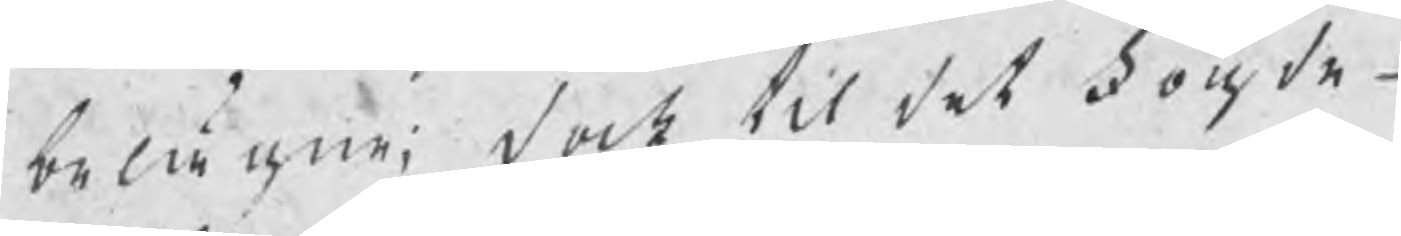belägne; dock til det fougde¬
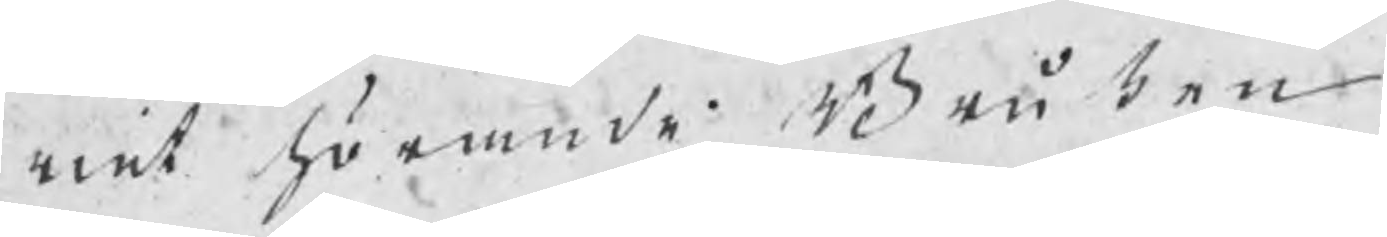riet hörande Bruken
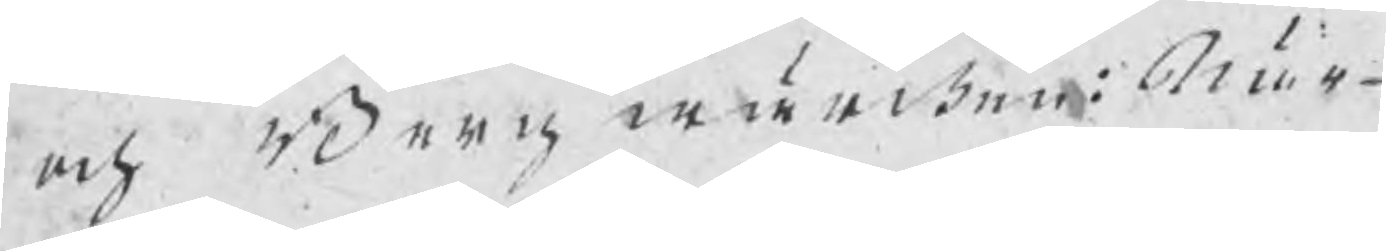och Bergwärcken: När¬
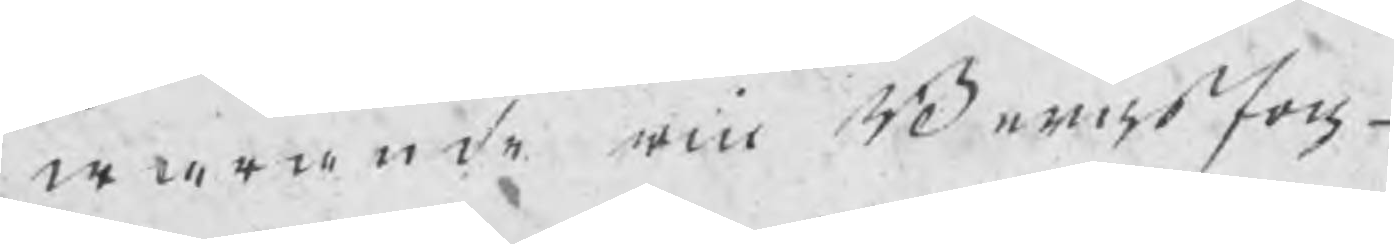warande är Bergsfog¬
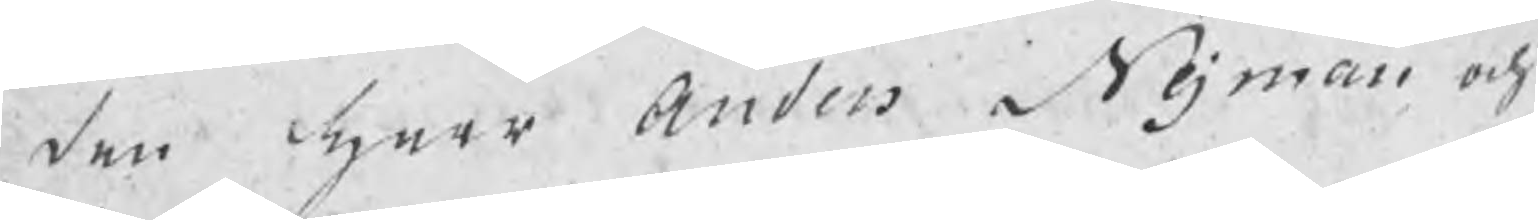den herr Anders Nejman och
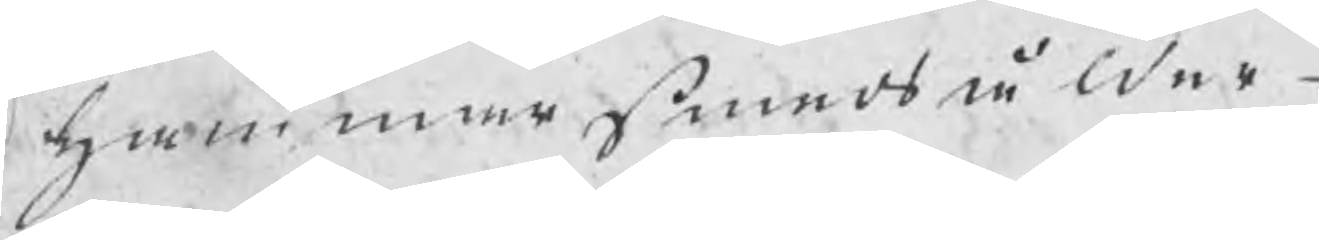hammarSmedsålder¬
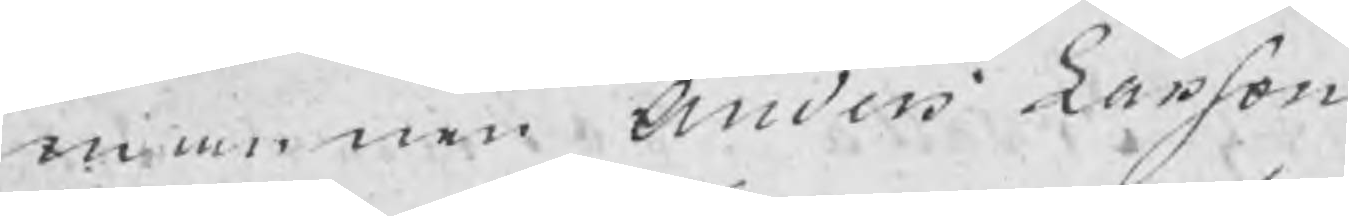mannen Anders Larson
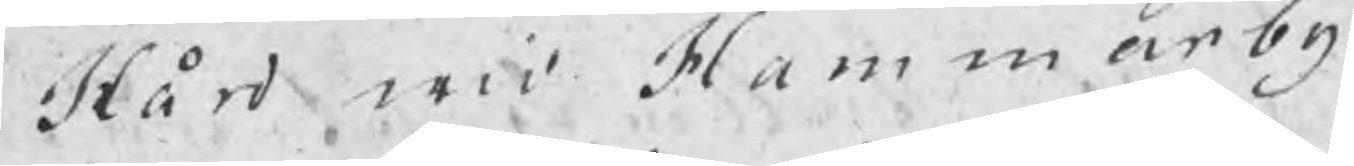Hård wid Hammarby
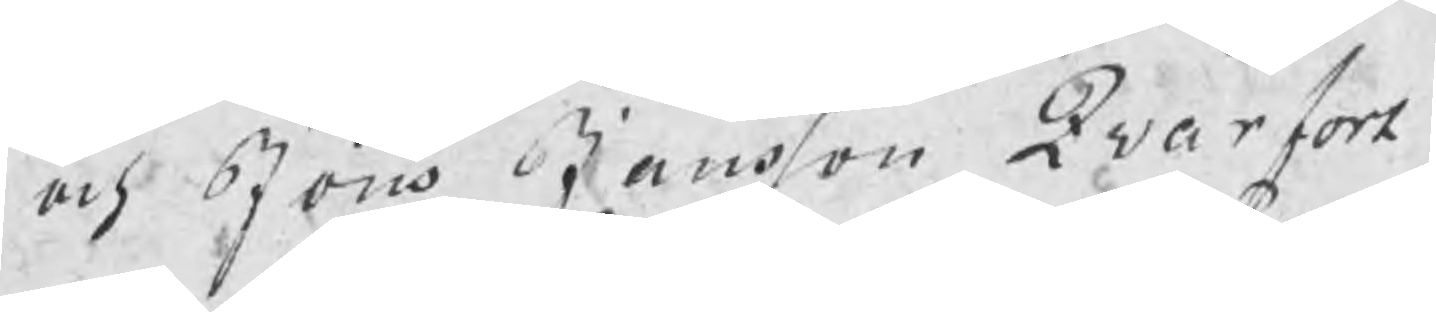och Jöns Jansson Qwarfort
